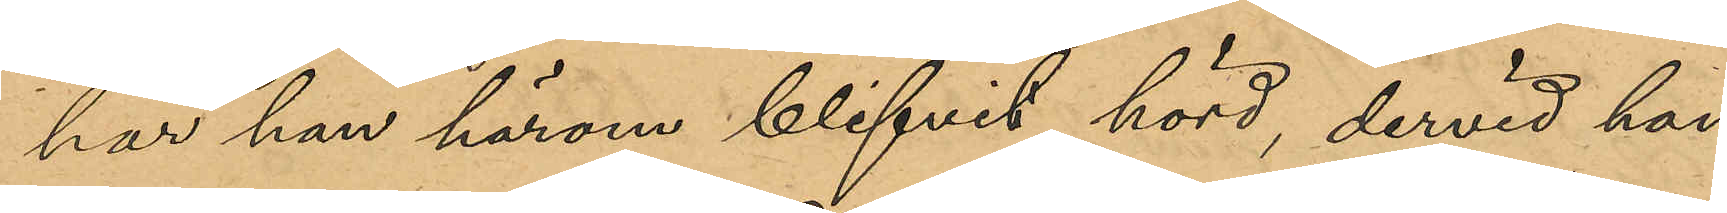har han härom blifvit hörd, dervid han
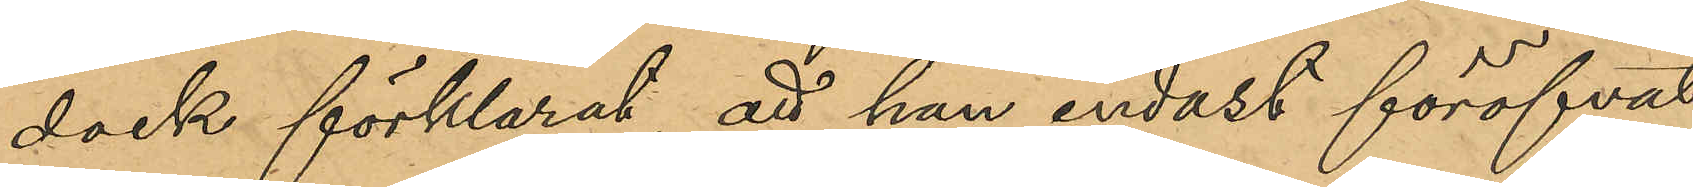dock förklarat, att han endast föröfvat
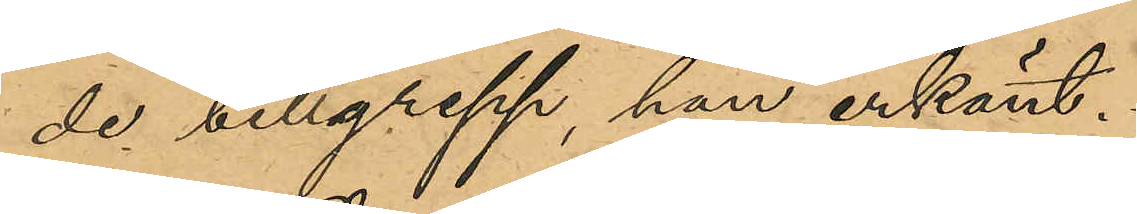de tillgrepp han erkändt.
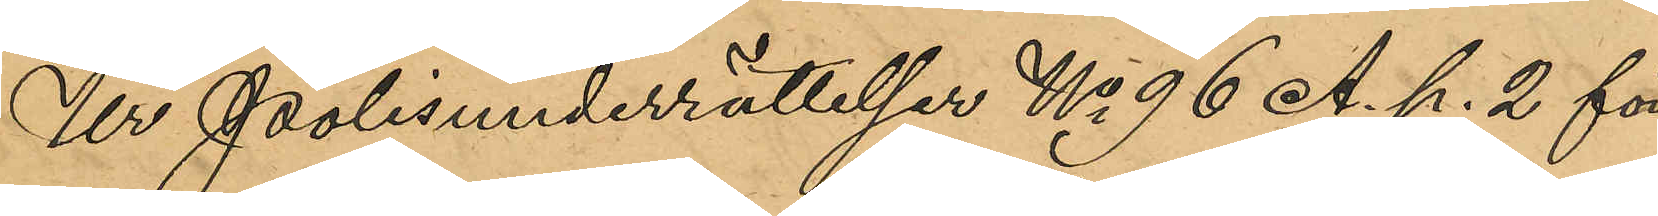Ur Polisunderrättelser No 96 A. p. 2 för
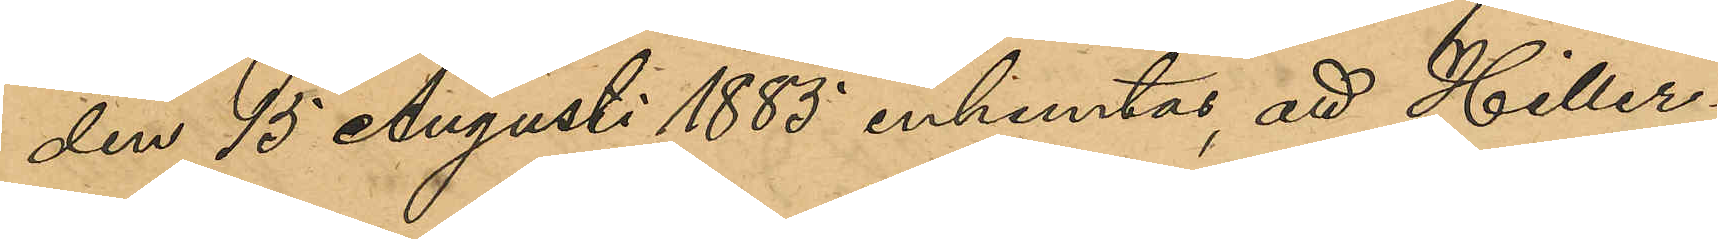den 15 Augusti 1885 inhemtas, att Hiller¬
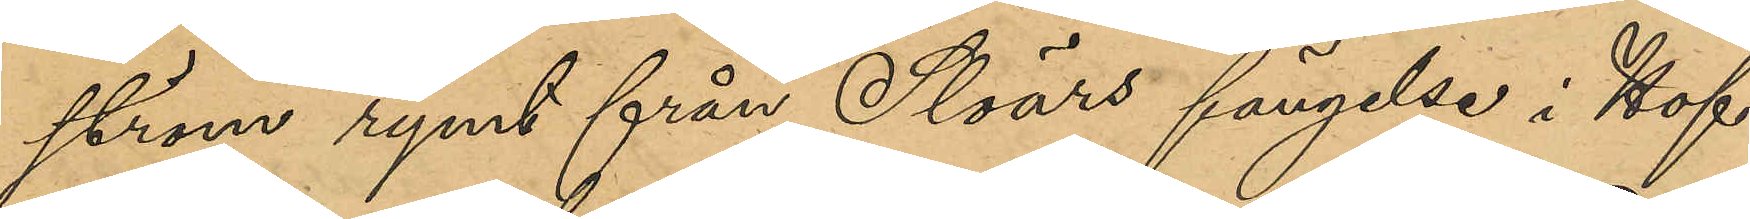ström rymt från Solörs fängelse i Hof
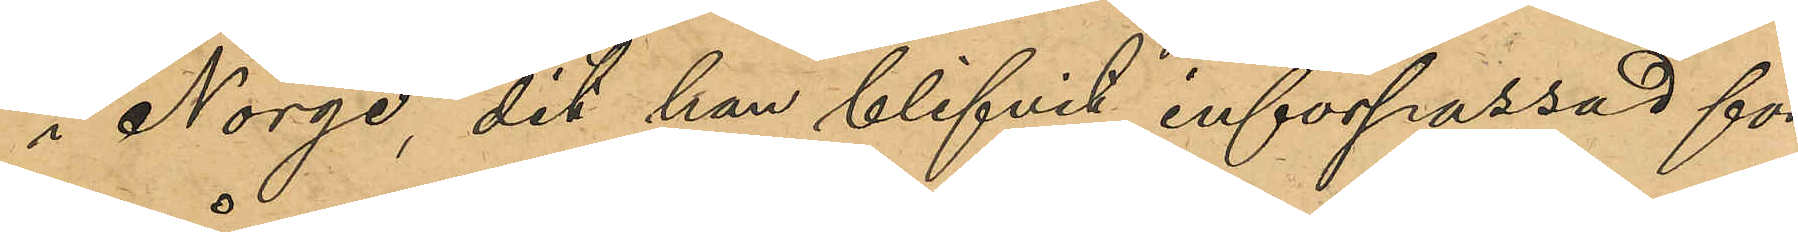i Norge, dit han blifvit införpassad för
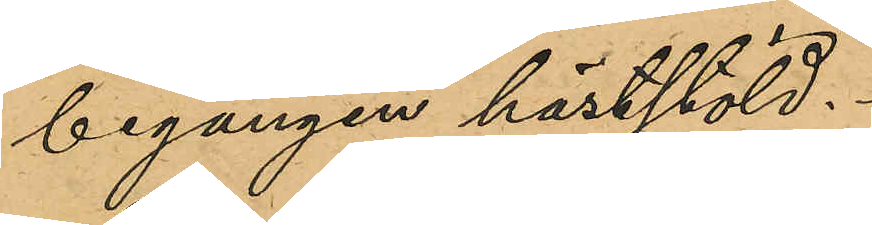begången häststöld.
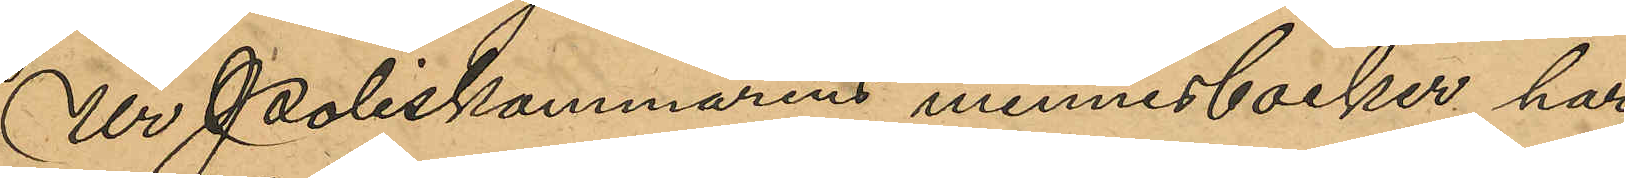Ur Poliskammarens minneböcker har
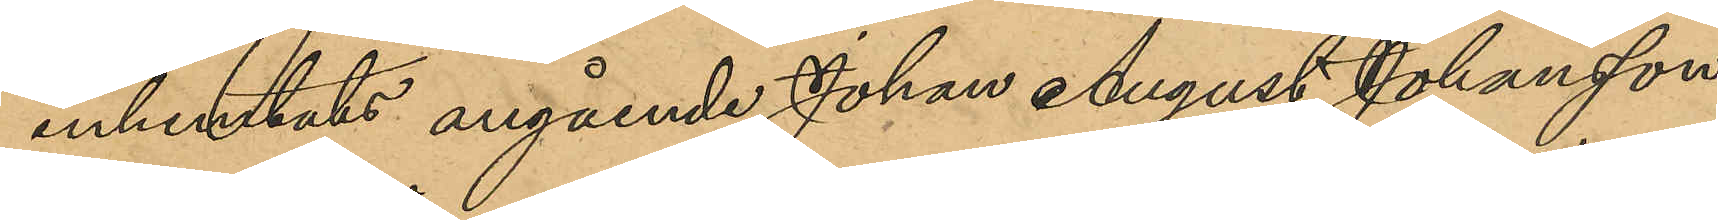inhemtats angående Johan August Johansson
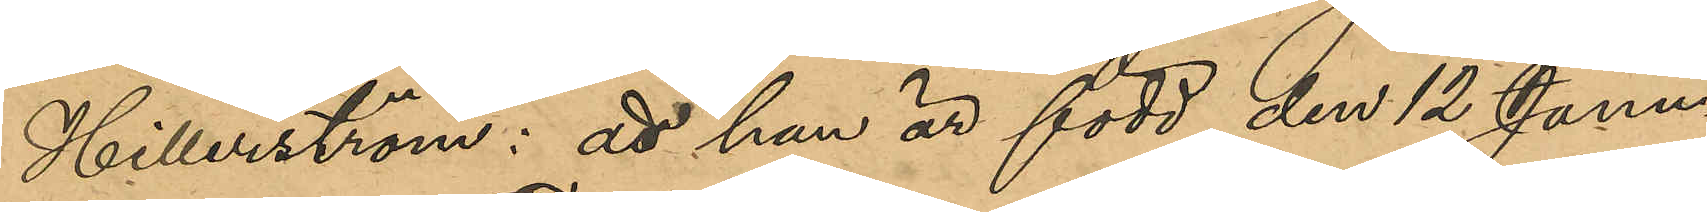Hillerström: att han är född den 12 Janu¬
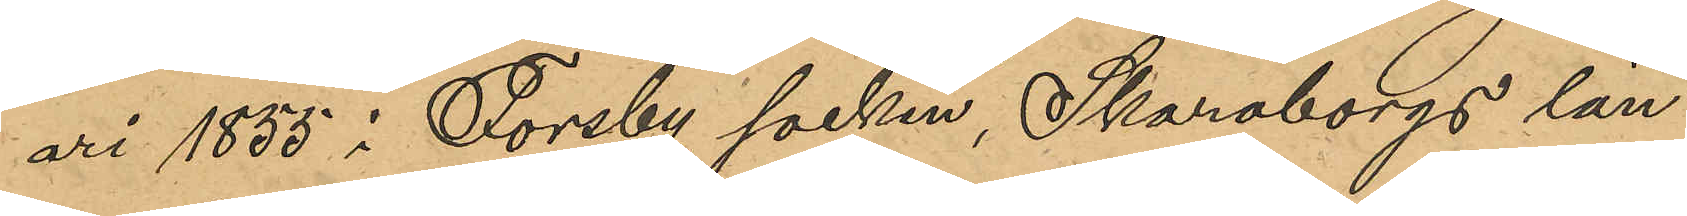                                                                                                                           ari i Forsby socken, Skaraborgs län,                                                                                                                                     
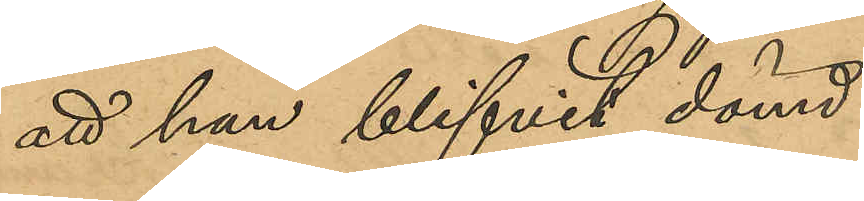att han blifvit dömd:
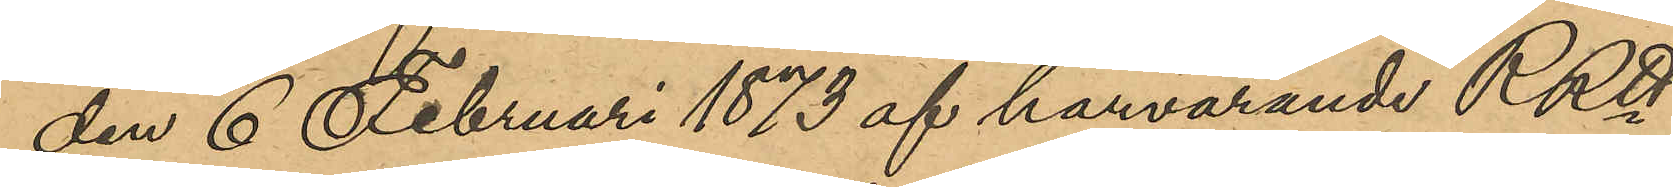den 6 Februari 1873 af härvarande RRtt
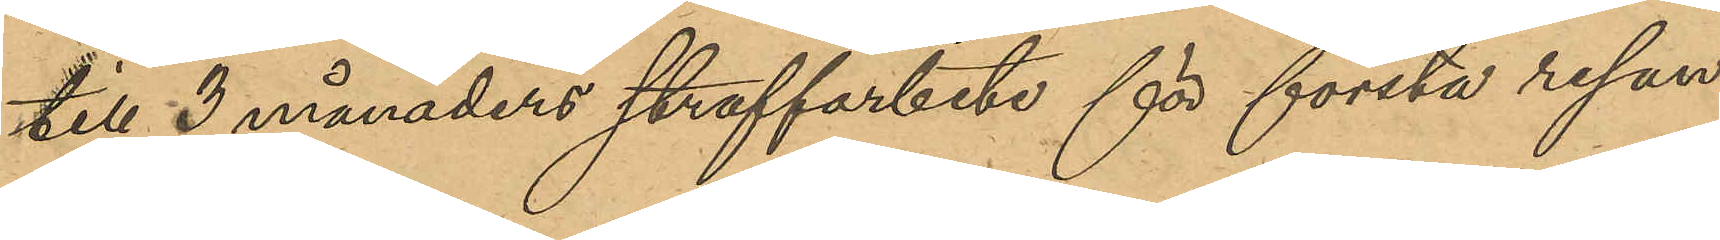till 3 månaders straffarbete för första resan
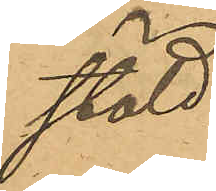stöld,
